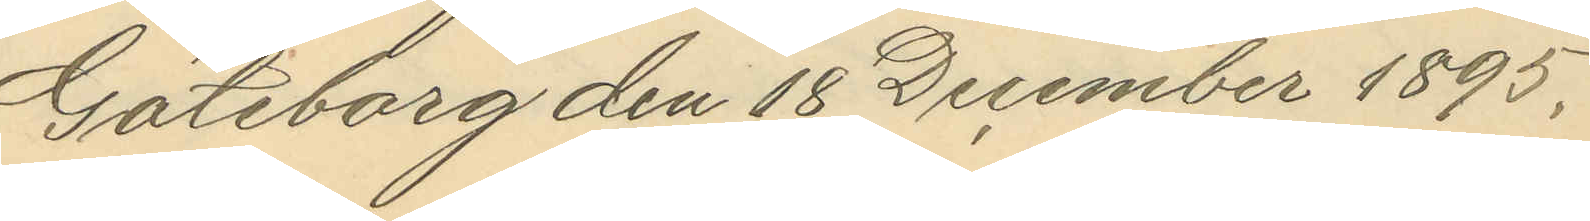Göteborg den 18 December 1895.
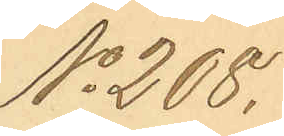No 208.
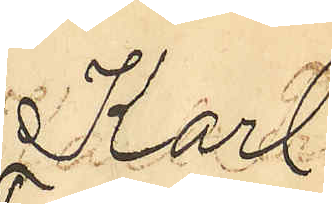Karl
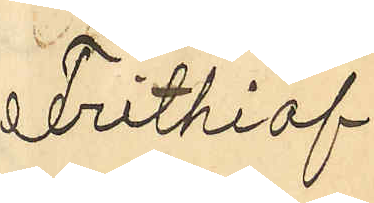Frithiof
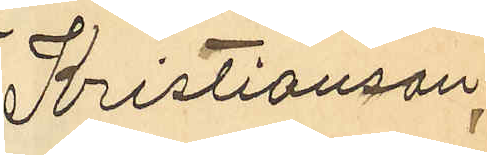Kristianson
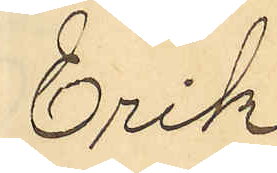Erik
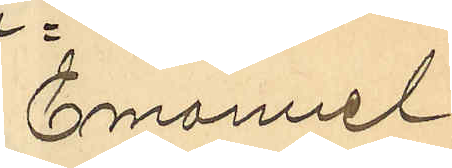Emanuel
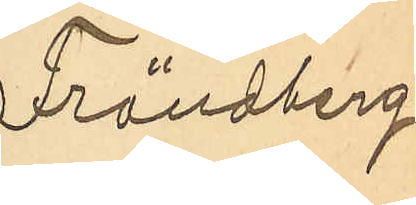Frändberg
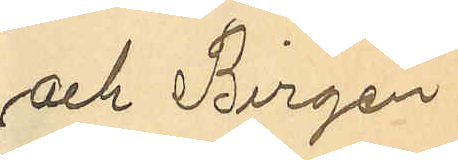och Birgen
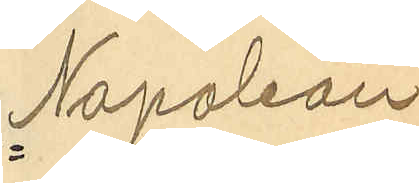Napoleon
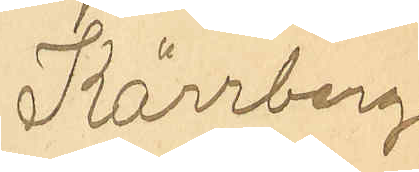Kärrberg
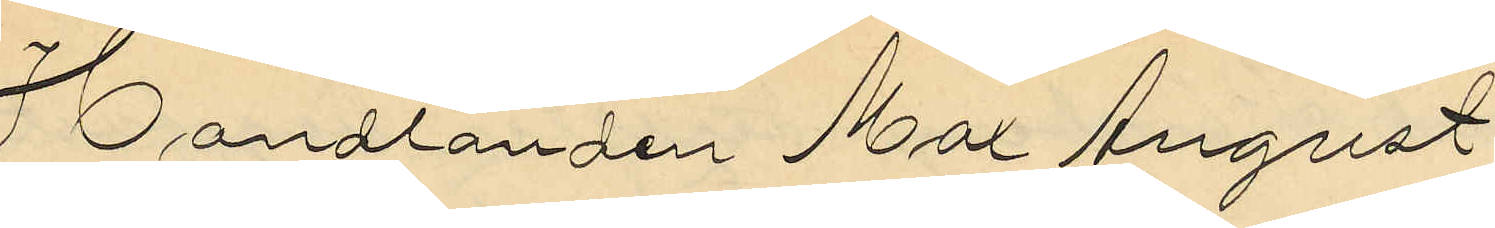Handlanden Max August
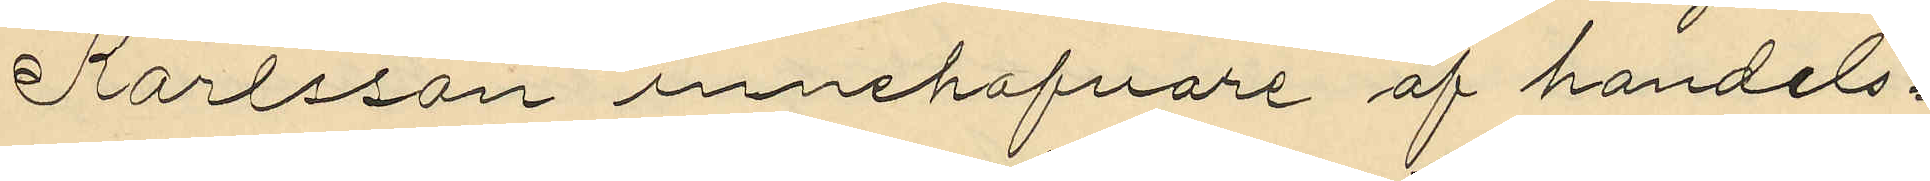Karlsson innehafvare af handels¬
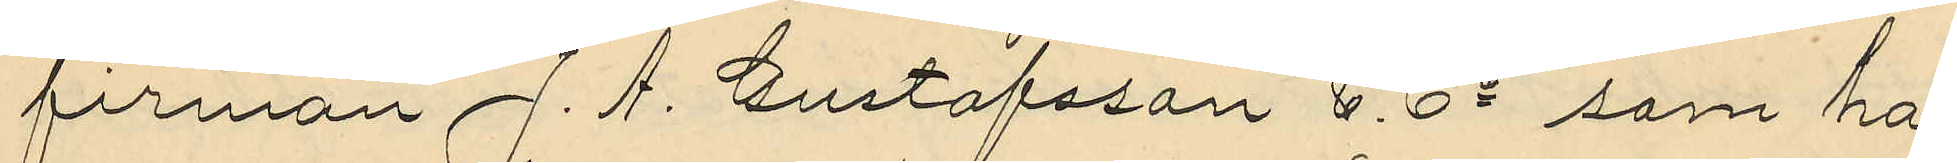firman J. A. Gustafsson & Co som har
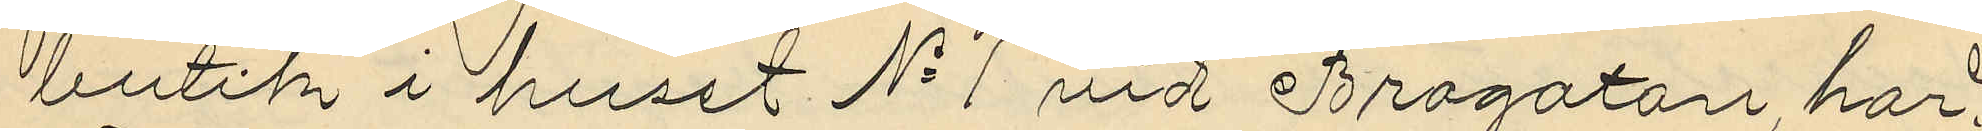butik i huset No 1 vid Brogatan, har
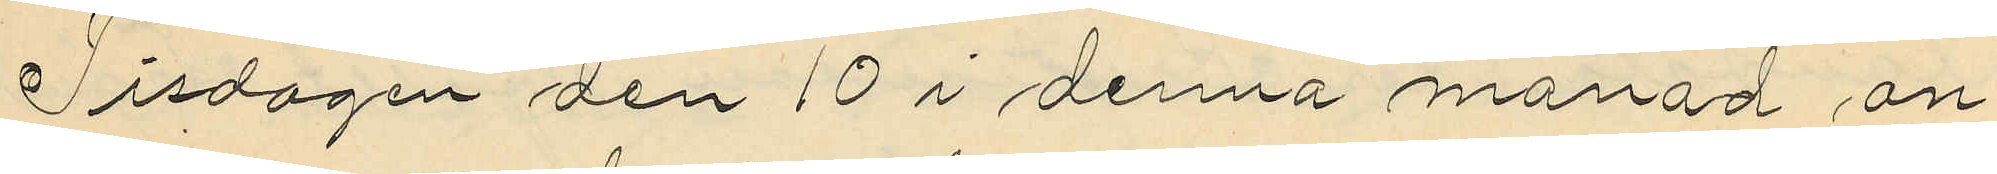Tisdagen den 10 i denna månad an¬
